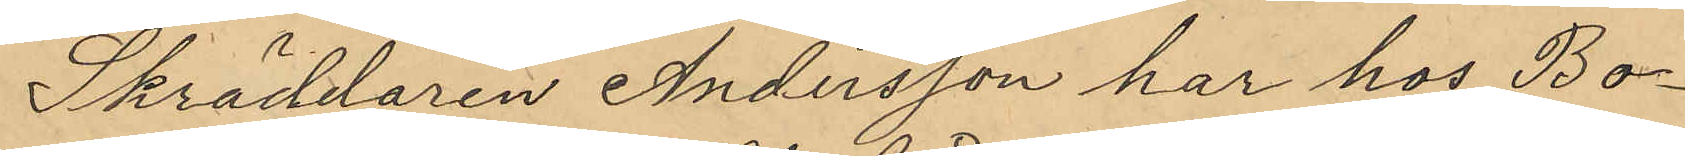Skräddaren Andersson har hos Bo¬
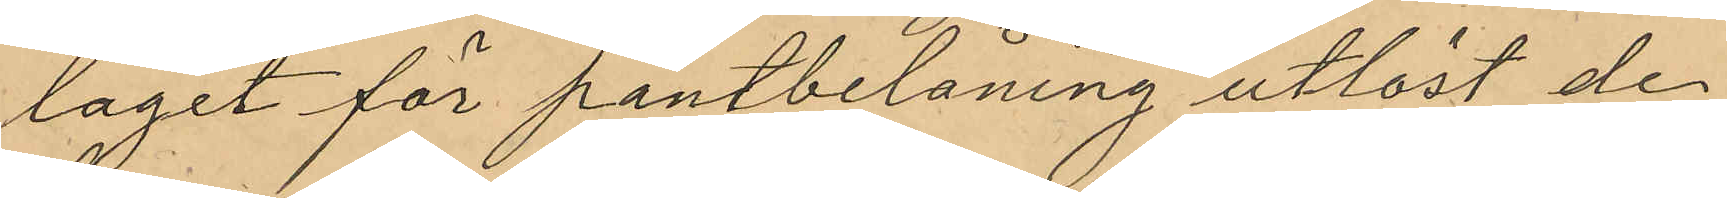laget för pantbelåning utlöst de
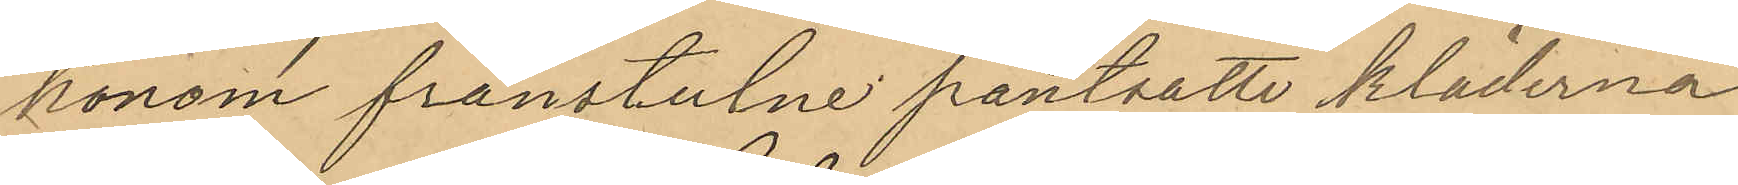honom frånstulne pantsatte kläderna
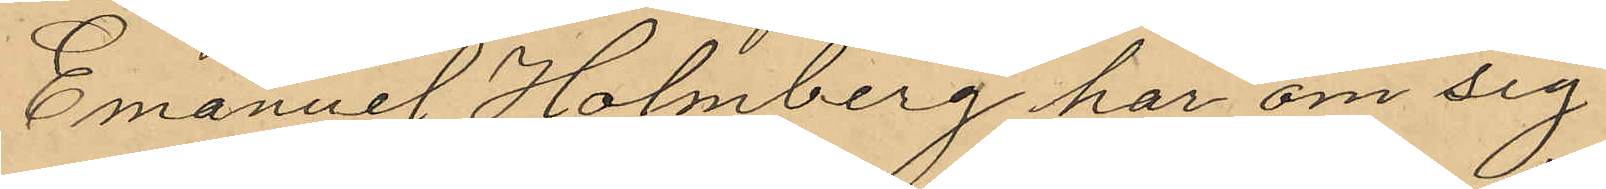Emanuel Holmberg har om sig
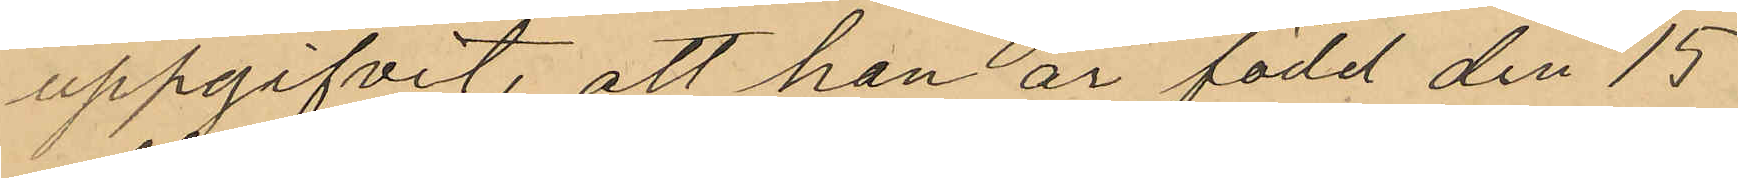uppgifvit, att han är född den 15
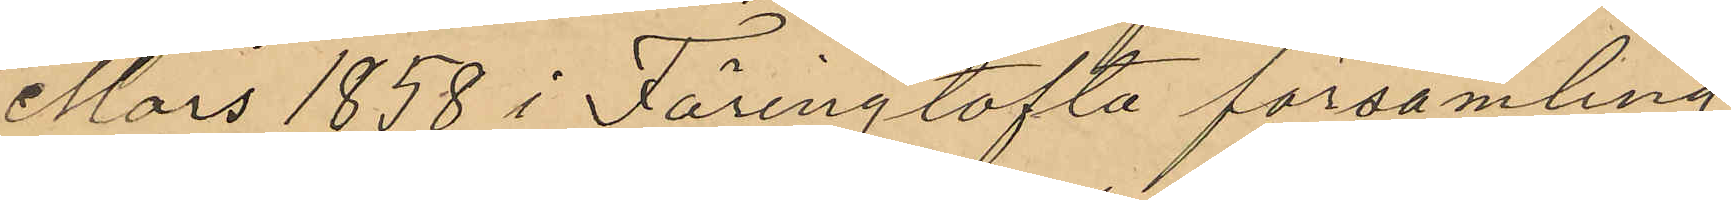Mars 1858 i Färingtofta församling
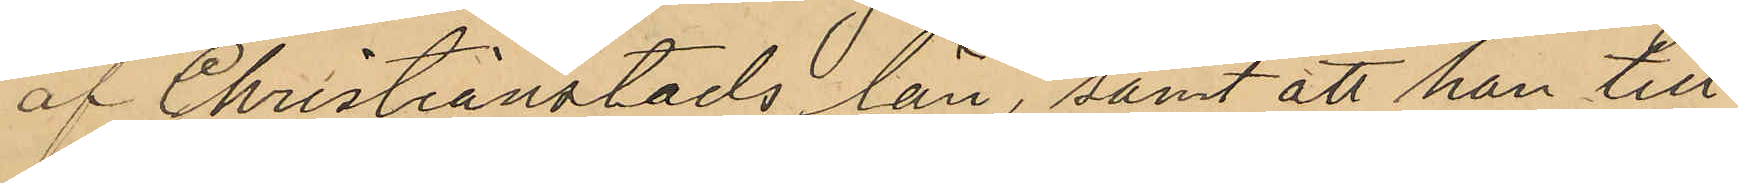af Christianstads län, samt att han till¬
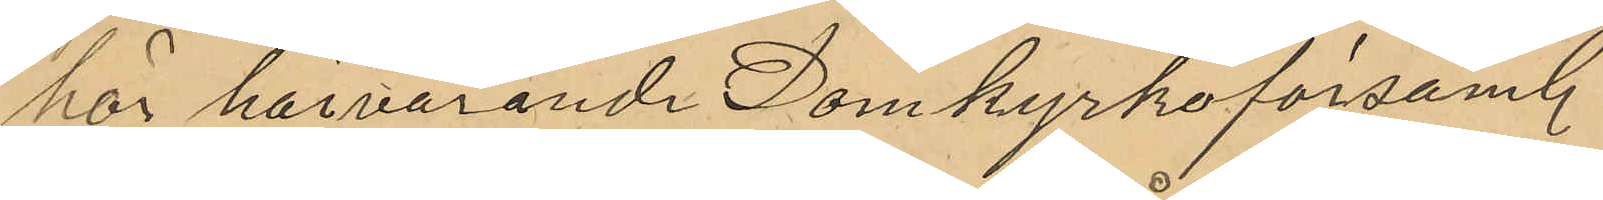hör härvarande Domkyrkoförsaml.
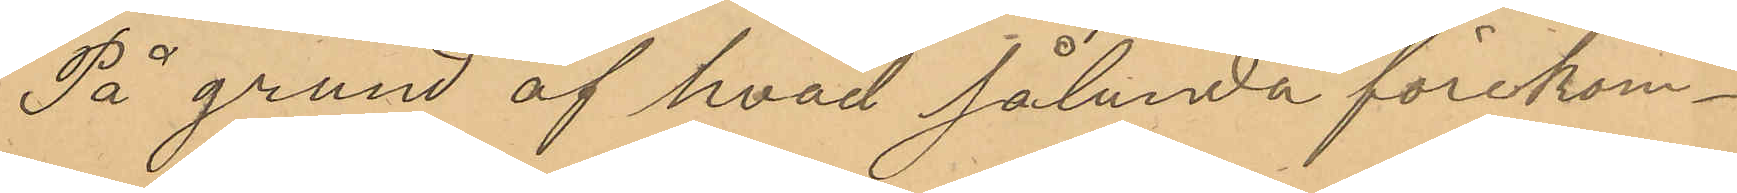På grund af hvad sålunda förekom¬
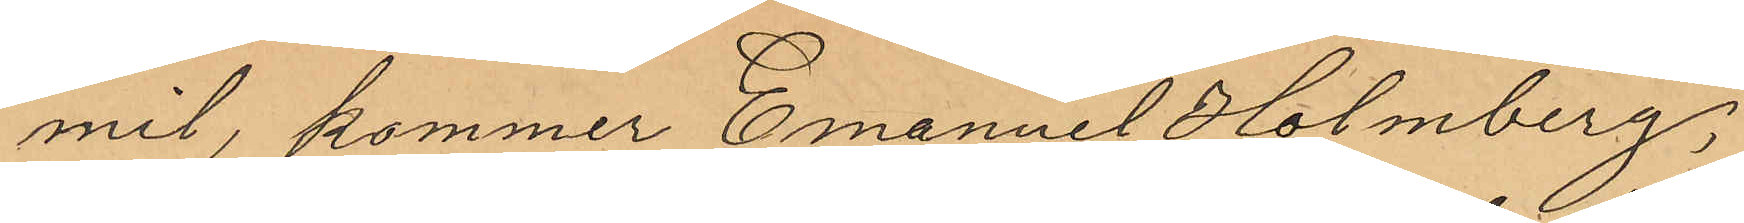mit, kommer Emanuel Holmberg,
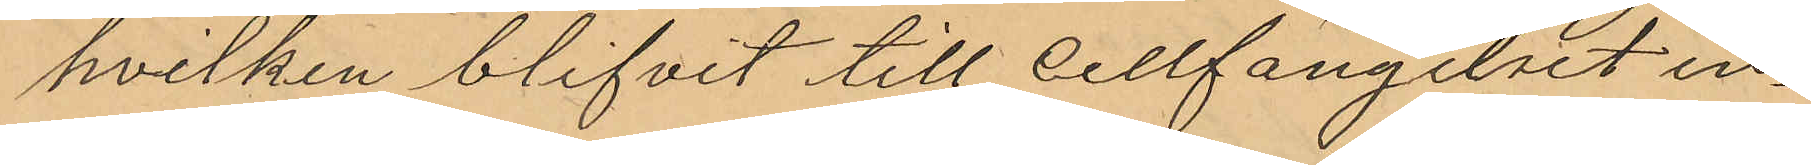hvilken blifvit till cellfängelset in¬
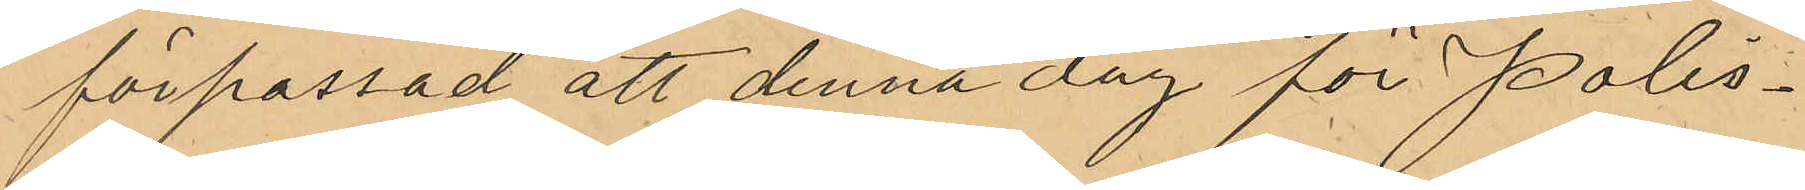förpassad att denna dag för Polis¬
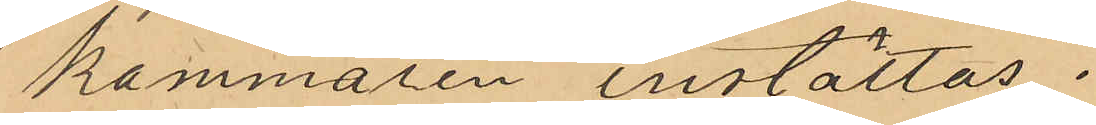kammaren inställas.
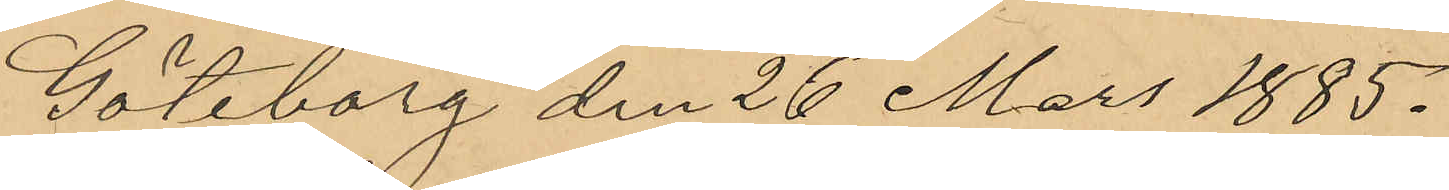Göteborg den 26 Mars 1885.
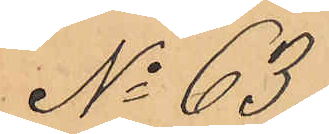No 63
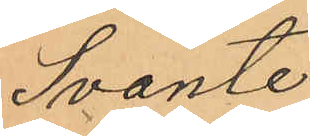Svante
